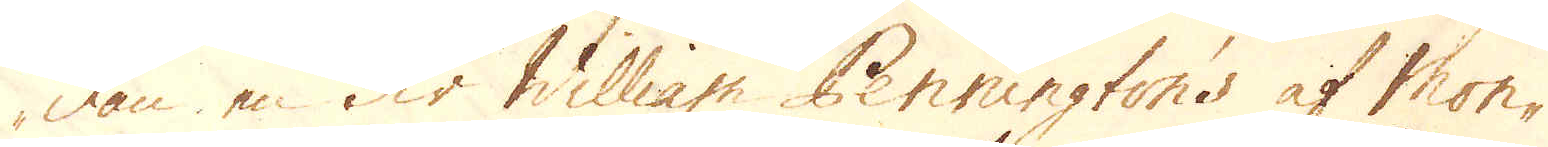dan en Sir William Pennington's af Mon-
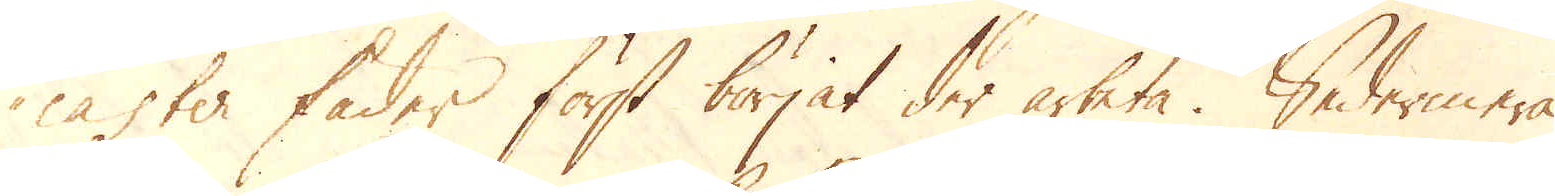caster fader först börjat der arbeta. Sedermera
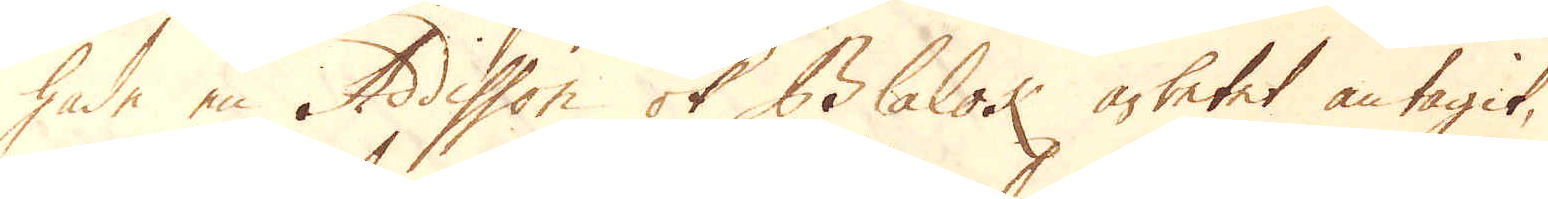hade en Addisson ok Blalok arbetet antagit,
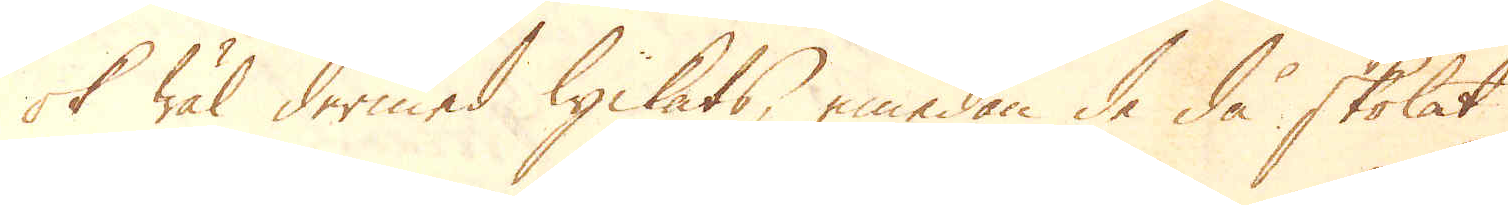ok wäl dermed lyckats, emedan de då skolat
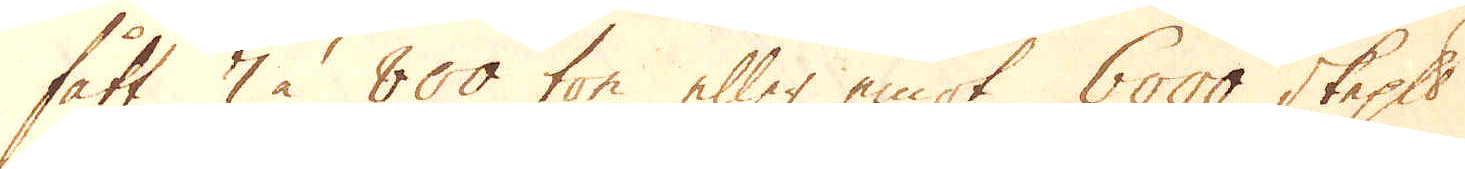fått 7 à 800 ton eller emot 6000 skeppund
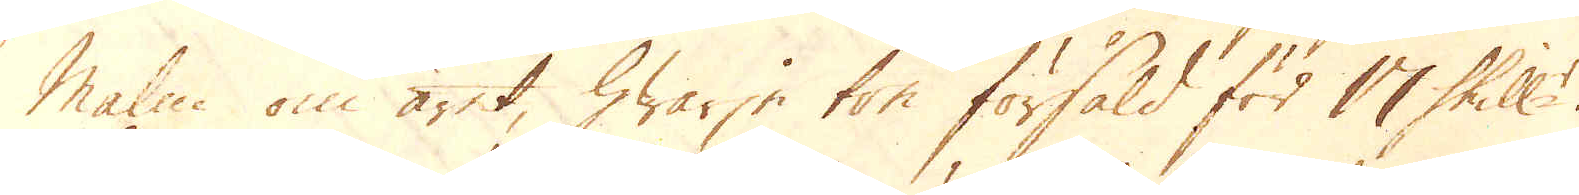Malm om året, hwarje ton försåld för 17 skill:r.
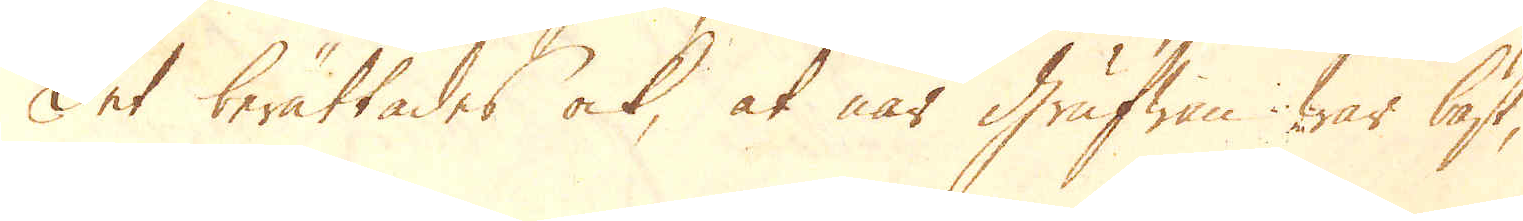Det berättades ock, at när Grufwan war bäst,
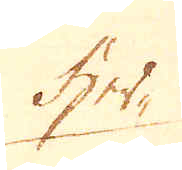her-
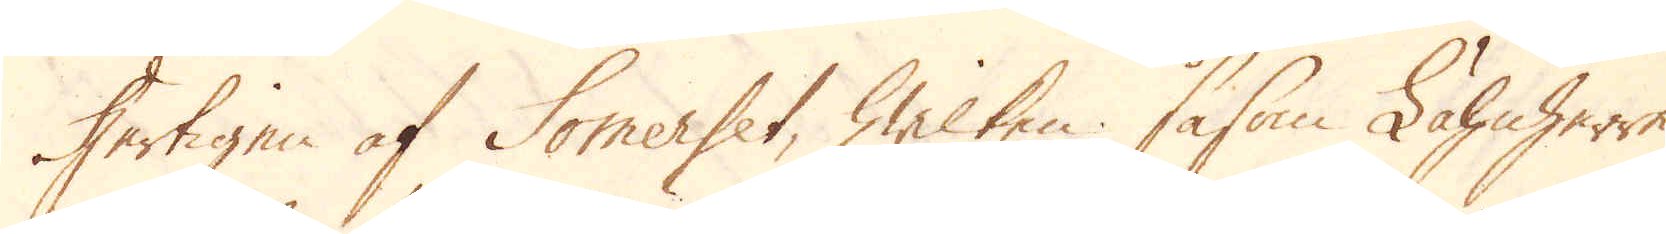Hertigen af Somerset, hwilken såsom Lähnherre
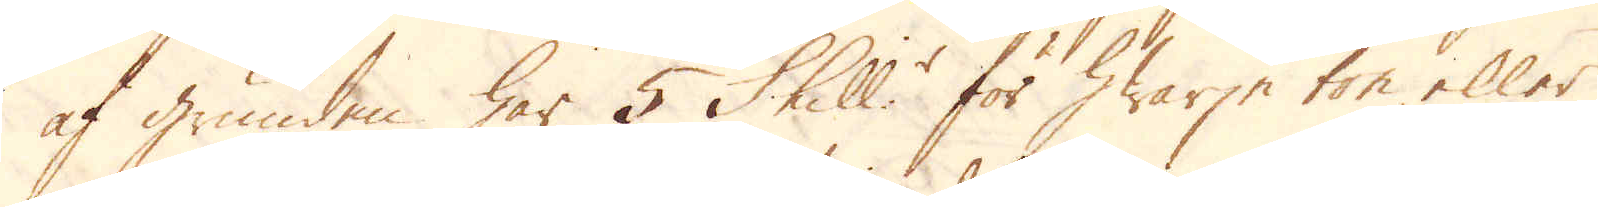af grunden har 5 Skill:r för hwarje ton eller
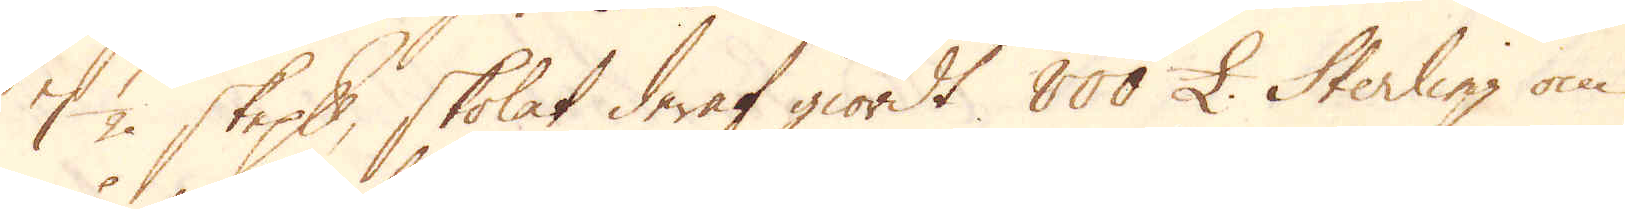7 1/2 skeppund, skolat deraf giordt 800 £. Sterling om
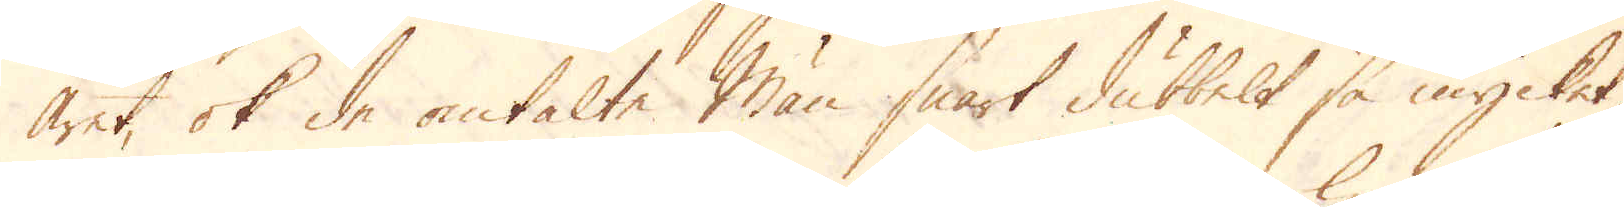året, ok de omtalte Män snart dubbelt så mycket,
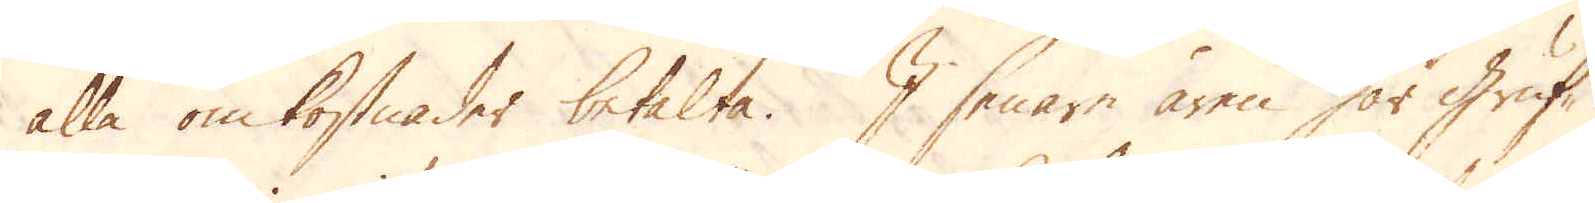alla omkostnader betalte. I senare åren har Gruf-
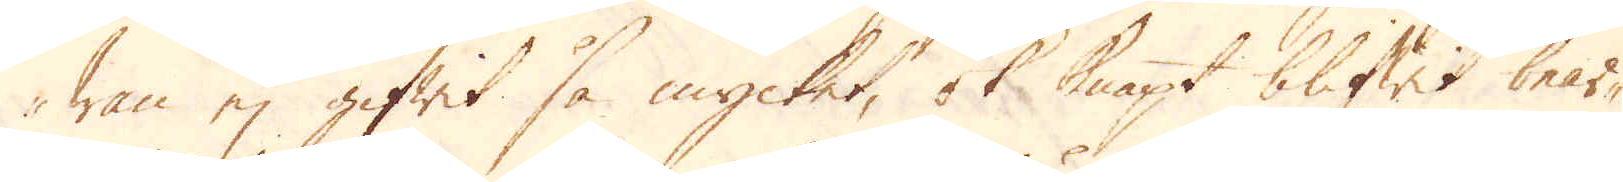wan ej gifwit så mycket, ok knapt blifwit bear-
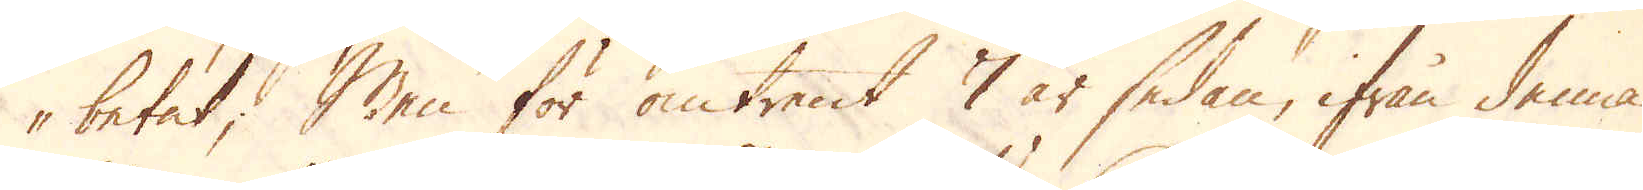betat; Men för omtrent 7 år sedan, ifrån denna
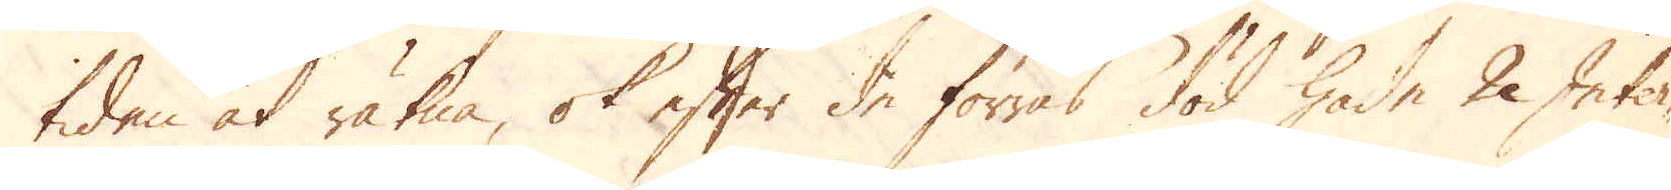tiden at räkna, ok efter de förras död hade 2 Inter-
